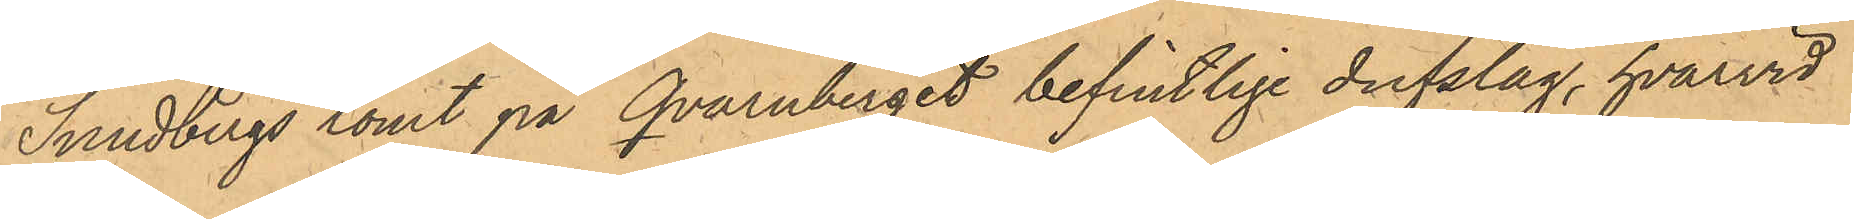Sundbergs tomt på Qvarnberget befintlige dufslag, hvarvid
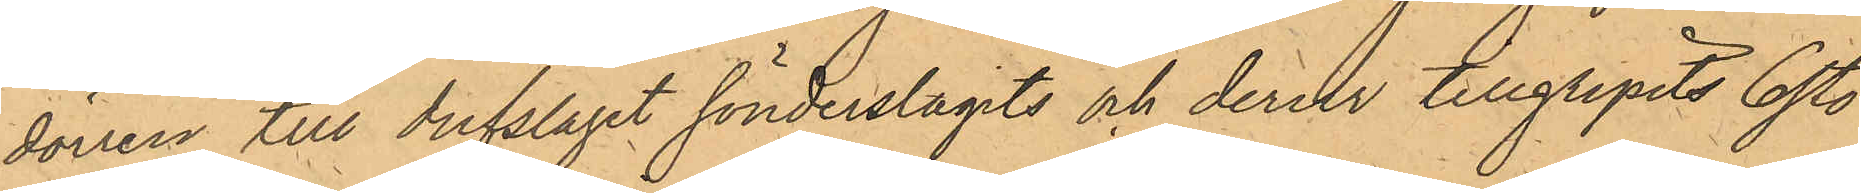dörren till dufslaget sönderslagits och derur tillgripits 6 st.
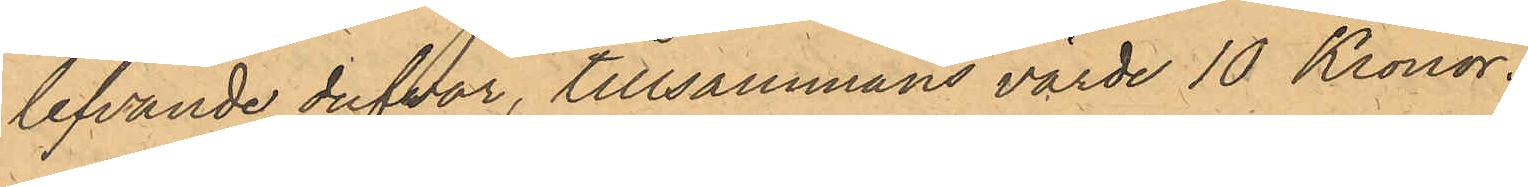lefvande dufvor, tillsammans värde 10 Kronor.
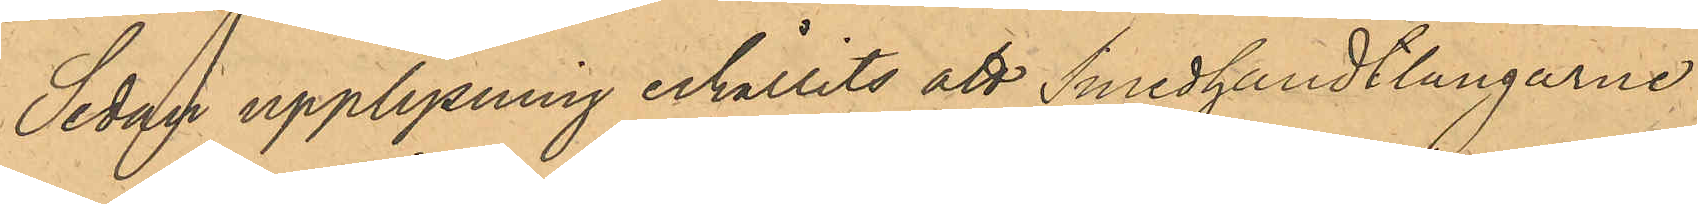Sedan upplysning erhållits att Smedhandtlangarne
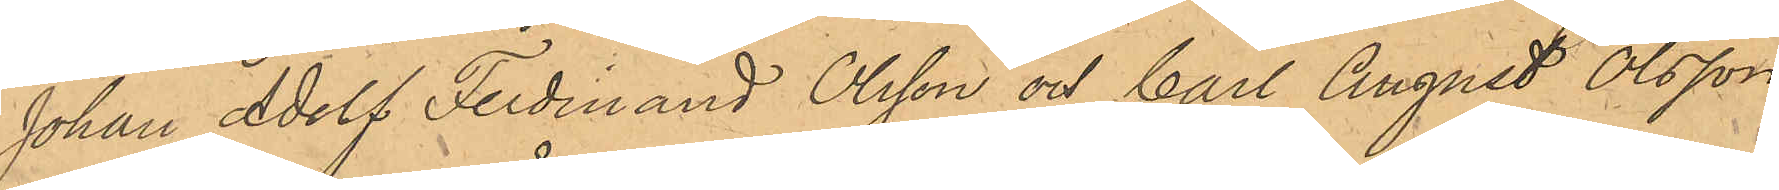Johan Adolf Ferdinand Olsson och Carl August Olsson
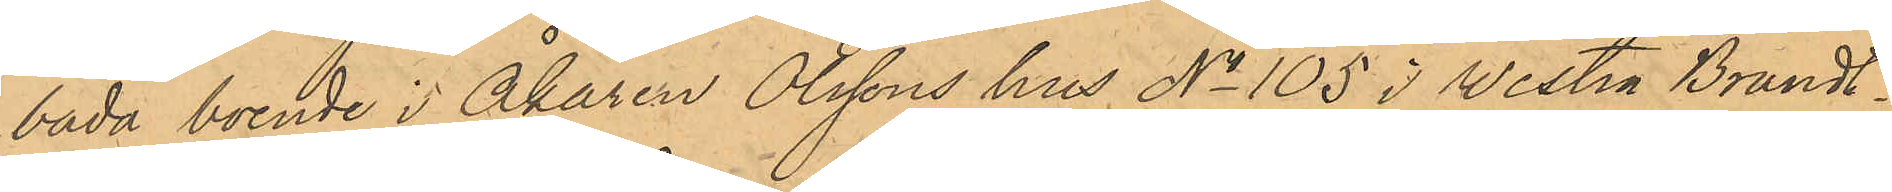båda boende i Åkaren Olssons hus No 105 i Westra Brandt¬
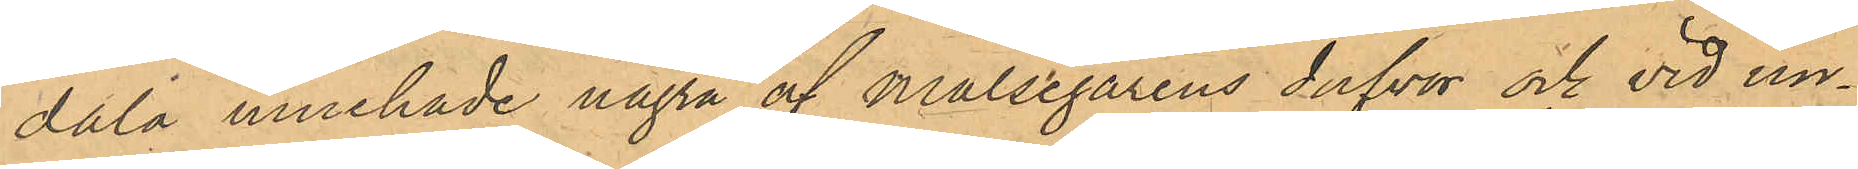dala innehade några af Målsegarens dufvor och vid un¬
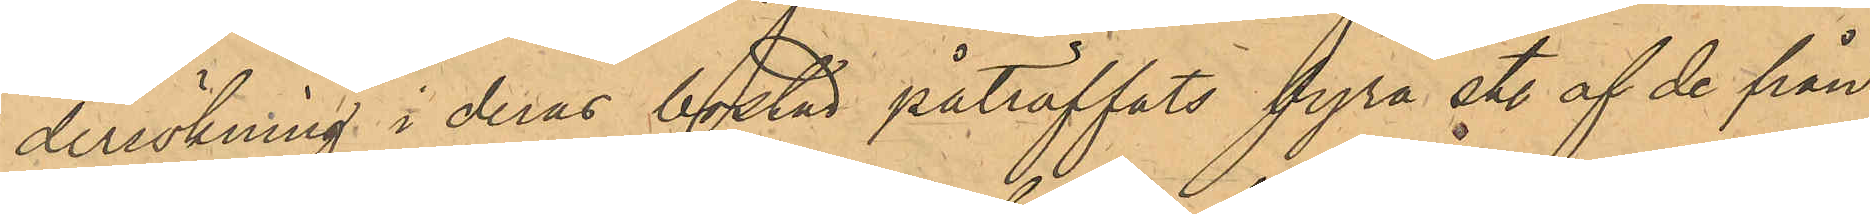sökning i deras bostad påträffats fyra st. af de från
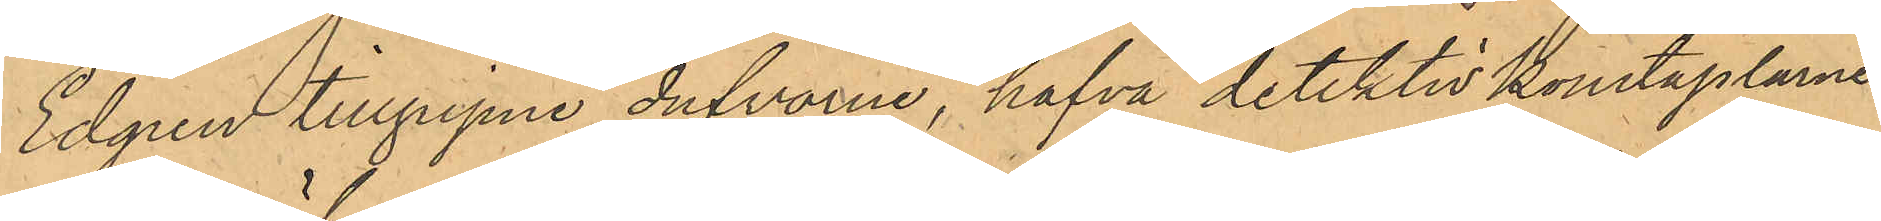Edgren tillgripne dufvorna, hafva detektivkonstaplarne
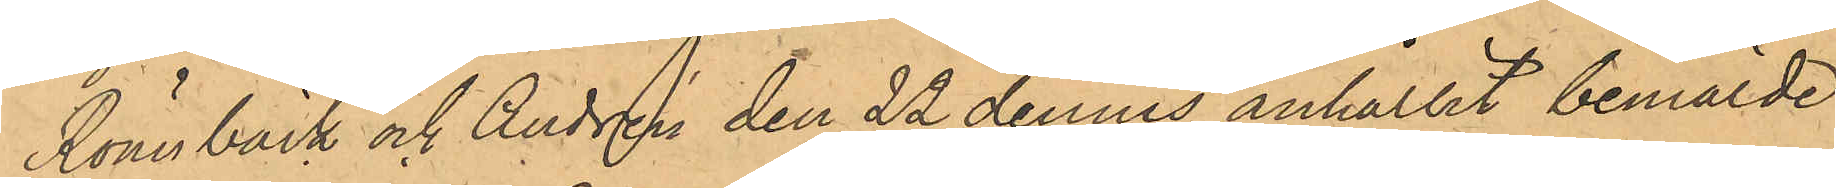Rönnbäck och Andrén den 22 dennes anhållit bemälde
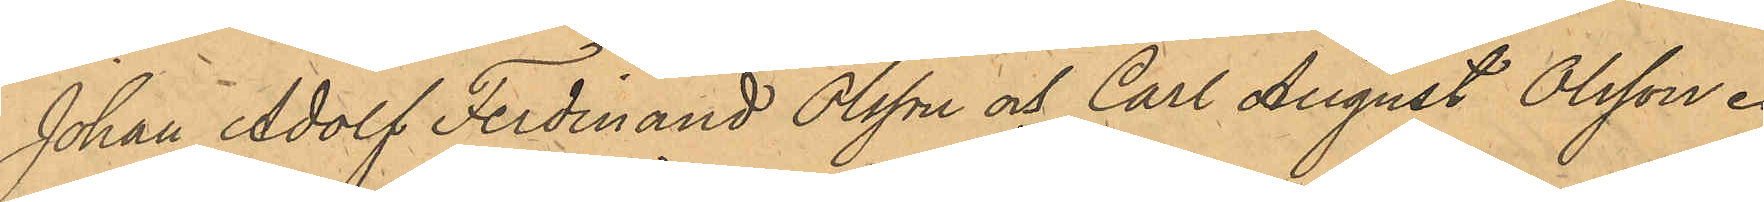Johan Adolf Ferdinand Olsson och Carl August Olsson.
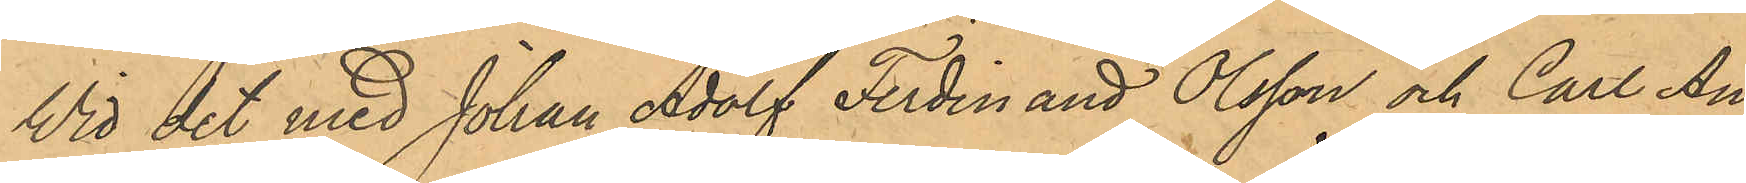Wid det med Johan Adolf Ferdinand Olsson och Carl Au¬
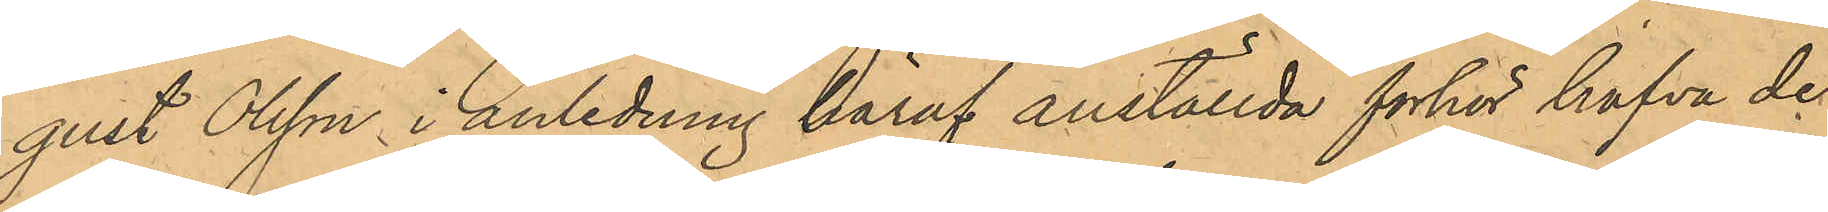gust Olsson i anledning häraf anställda förhör hafva de
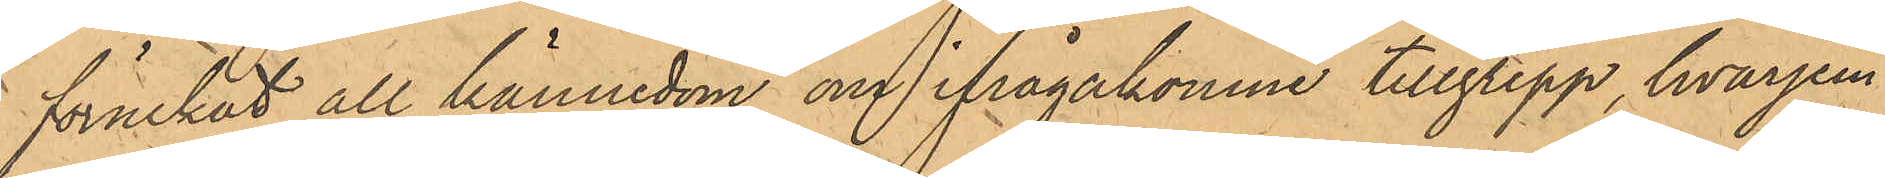förnekat all kännedom om ifrågakomne tillgrepp, hvarjem¬
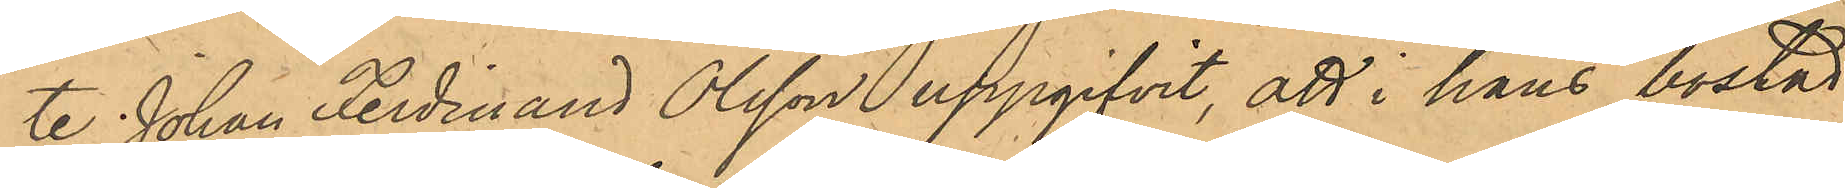te Johan Ferdinand Olsson uppgifvit, att i hans bostad
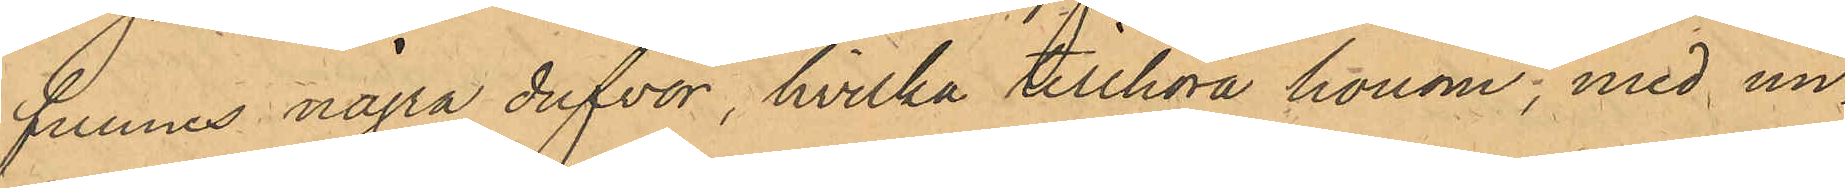funnes några dufvor, hvilka tillhöra honom; med un¬
